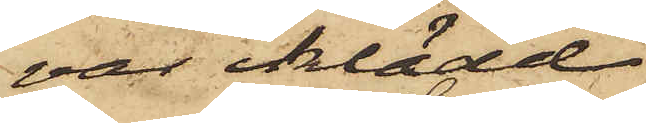var iklädd
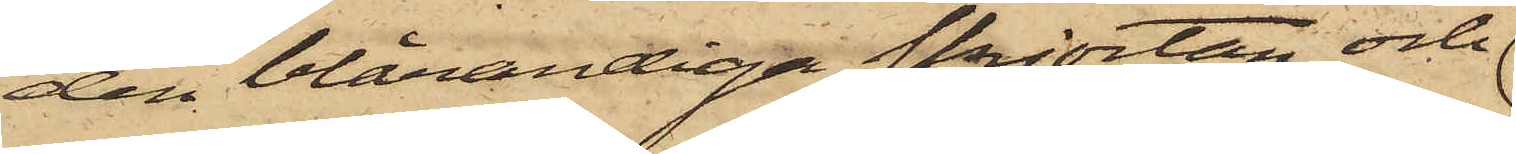den blårandiga skjortan och
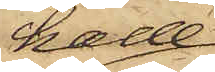hade
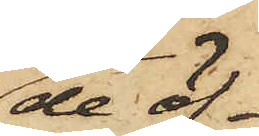de öf¬
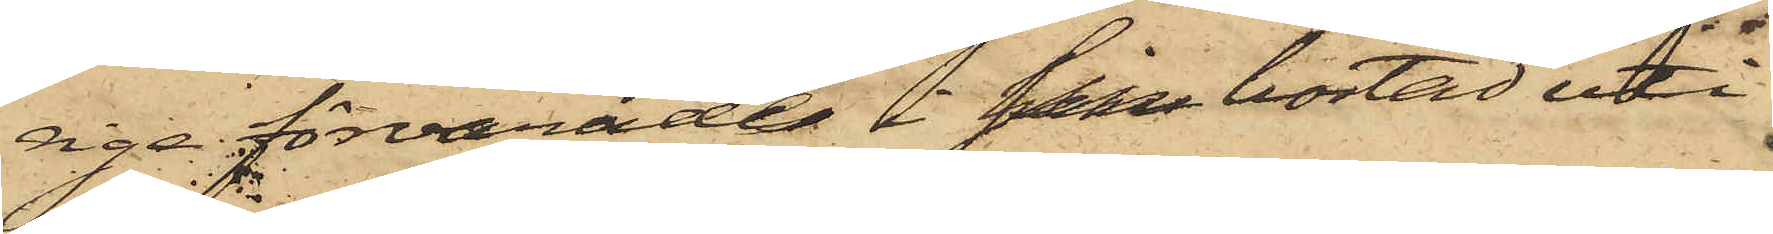riga förvarade uti sin bostad uti
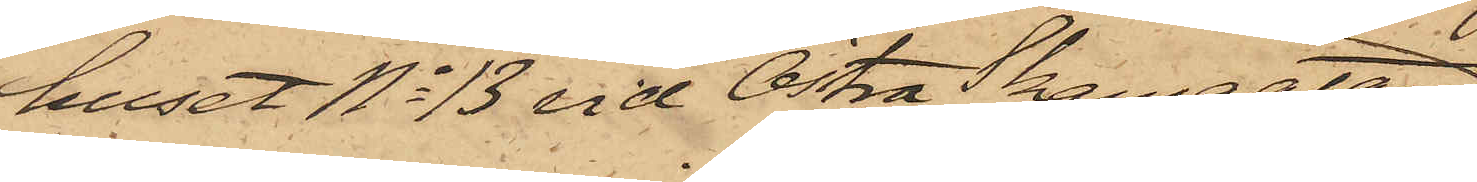huset No 13 vid Östra Skansgatan
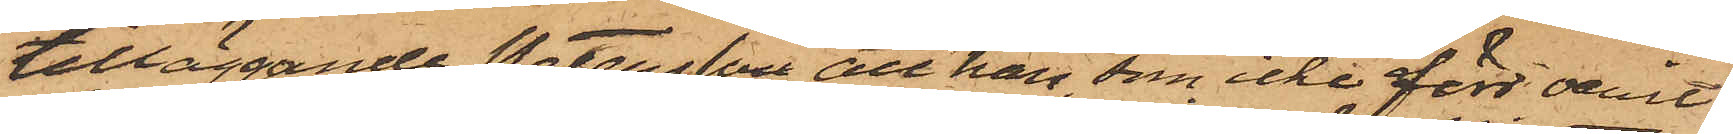tilläggande Petersson att han, som icke förr varit
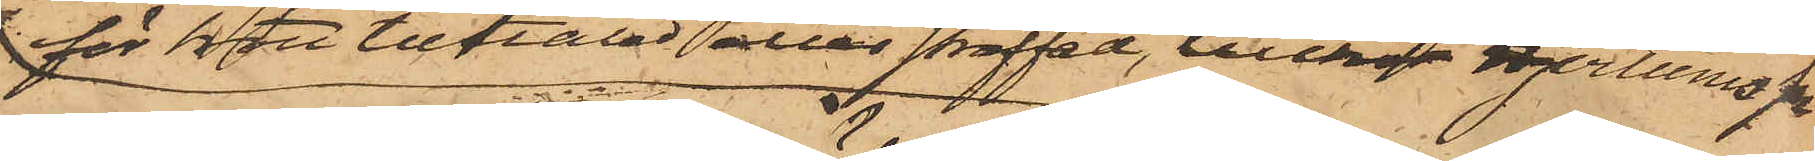för brott tilltalad eller straffad, tillhör Hjertums sn
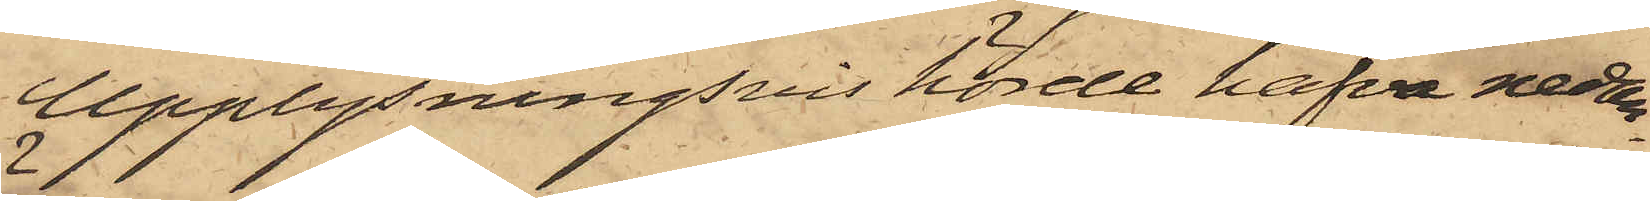Upplysningsvis hörde hafva nedan¬
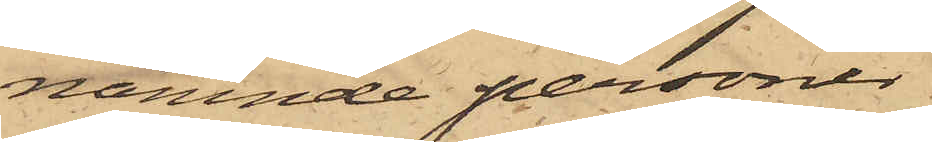nämnde personer
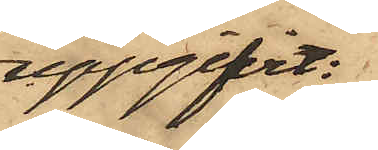uppgifvit:
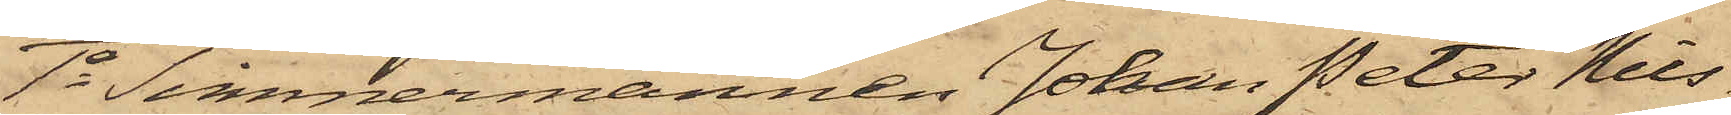1o Timmermannen Johan Peter Nils¬
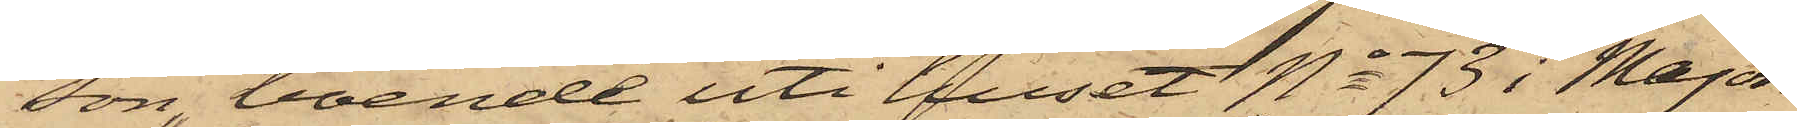son, boende uti huset No 73 i Major¬
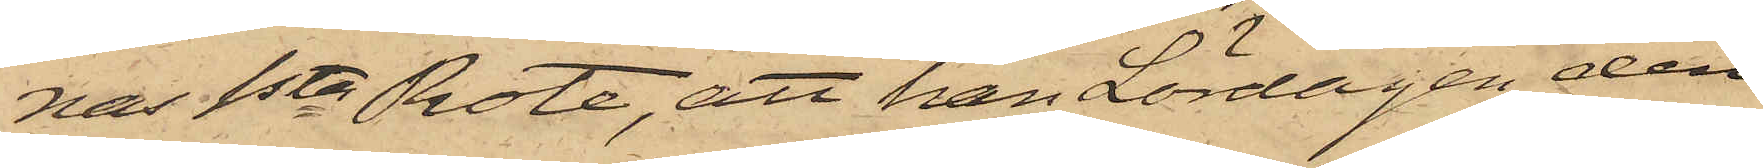nas 1sta Rote, att han Lördagen den
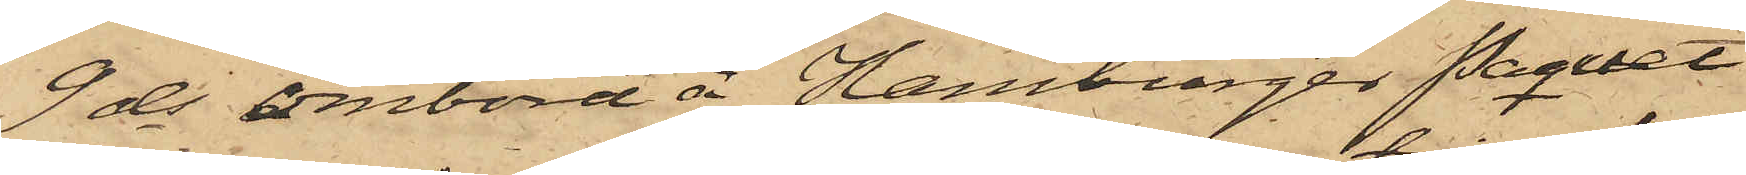9 ds ombord å Hamburger Paquet
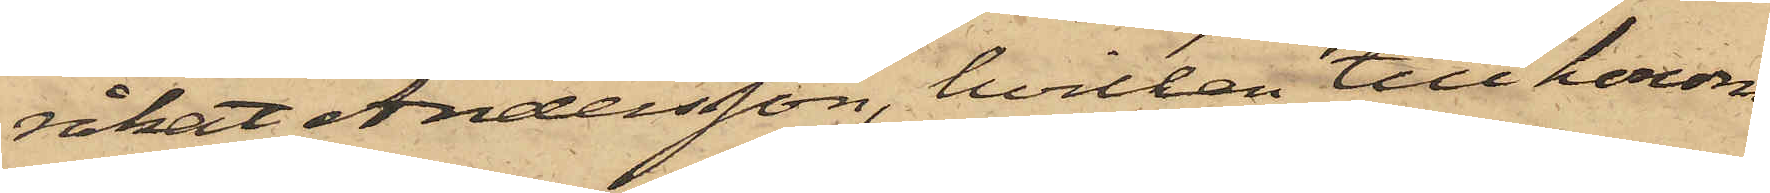råkat Andersson, hvilken till honom
